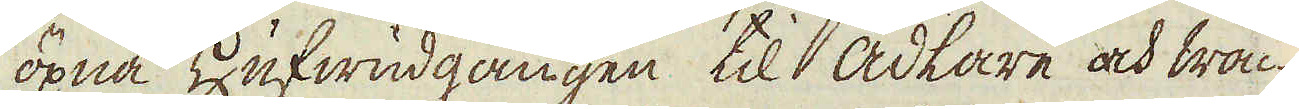öpna Hufwudgången til ädlare och wac-
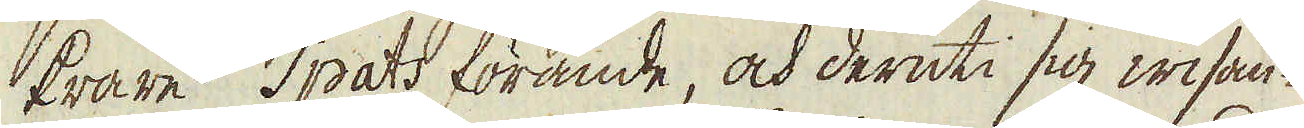krare Spats förande, och deruti sig wisan-
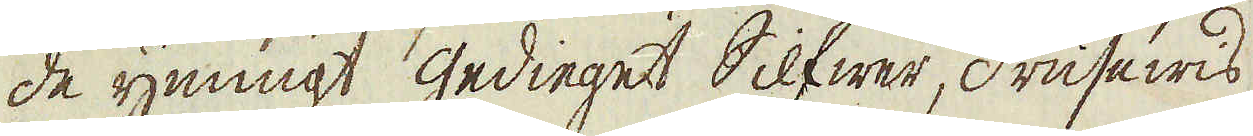de ymnigt gedieget Silfwer, drusewis
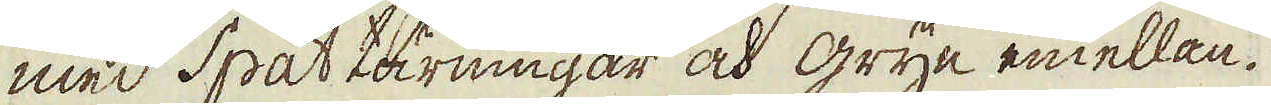med Spat tärningar och gryn emellan.
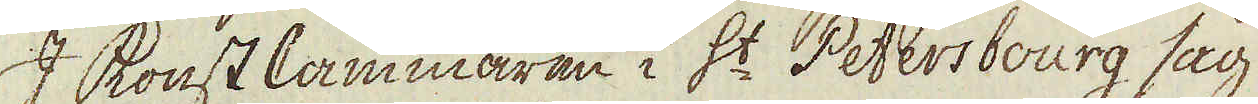I Konst Cammaren i S:t Petersbourg såg
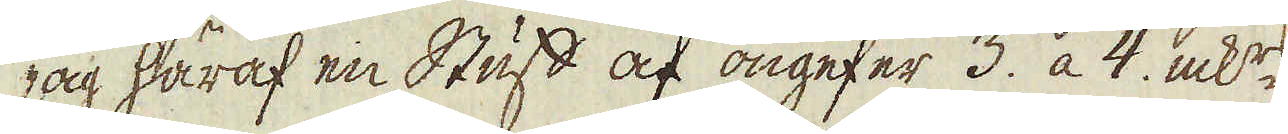jag häraf en Stuff af ongefer 3. a 4. mk:rs
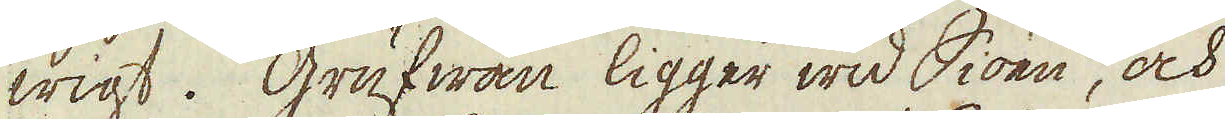wigt. Grufwan ligger wid Siöen, och
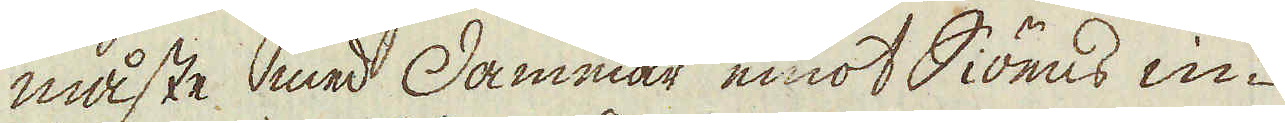måste med Dammar emot Siöens in-
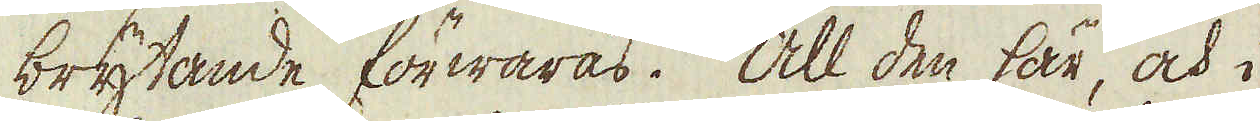brytande förwaras. All den här, och i
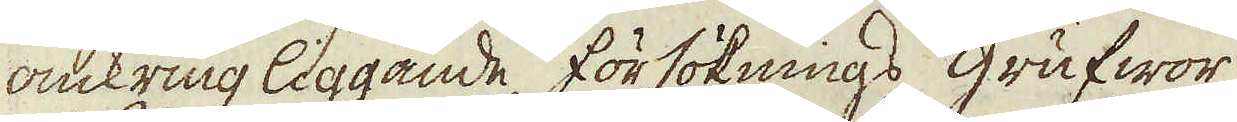omkring liggande försöknings grufwor
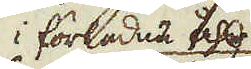i förledne fall 
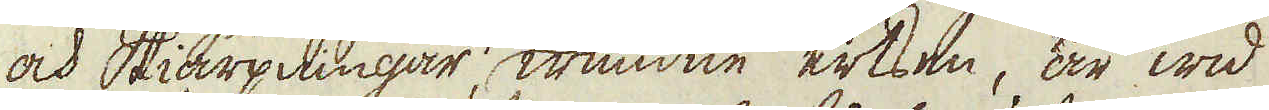och Skiärpningar, wundne ertsen, är wid
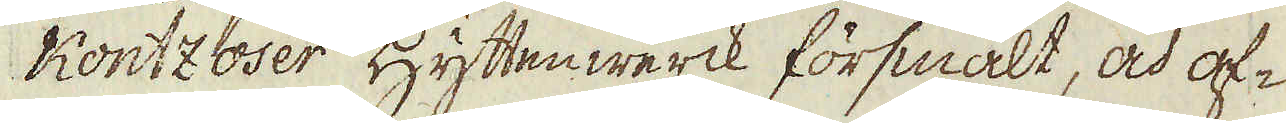Kontzoser Hyttenwerck försmält, och af-
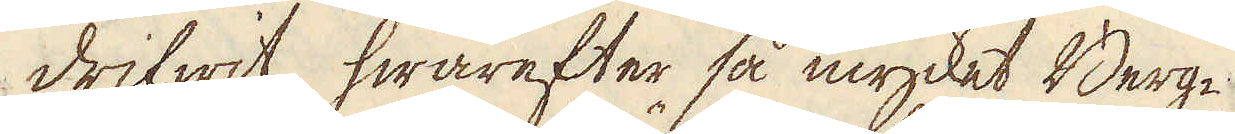drifwit, hwarefter så mycket Berg-
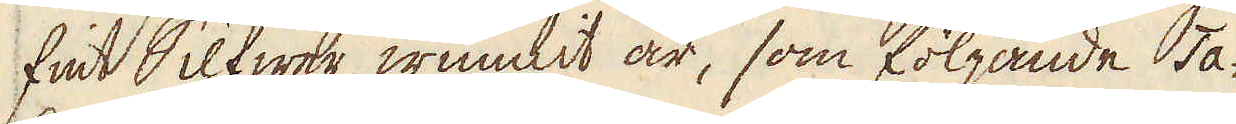fint Silfwer wunnit är, som följande Ta-
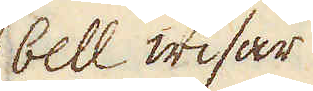bell wisar
